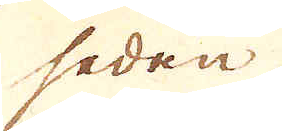seden
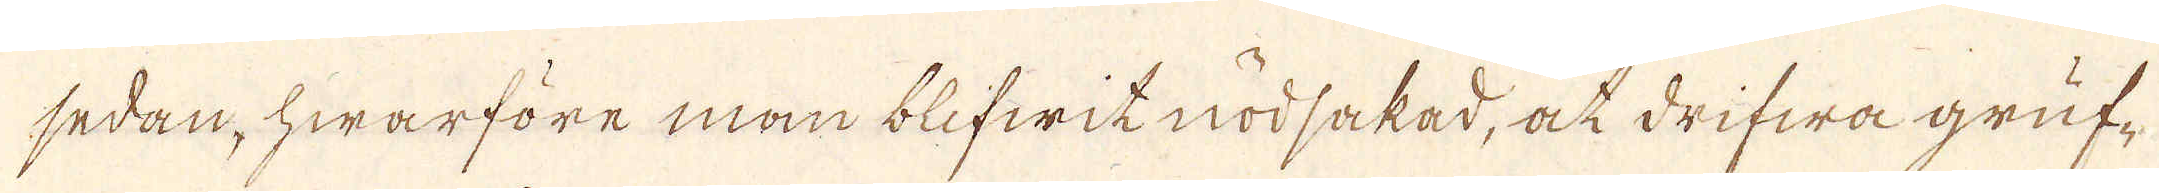sedan, hwarföre man blifwit nödsakad, at drifwa gruf-
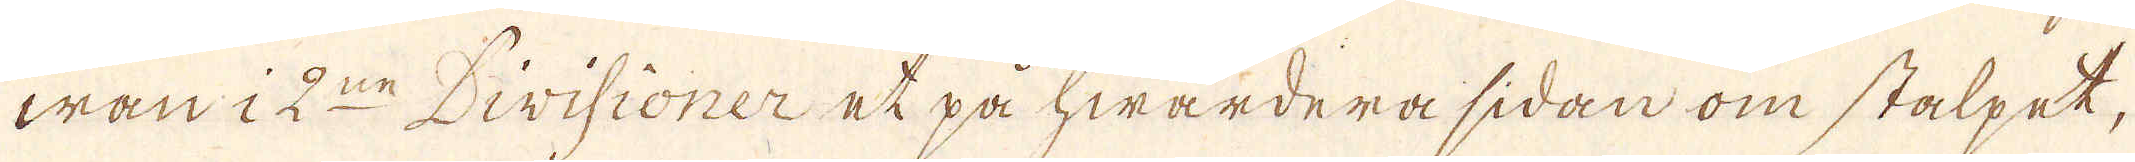wan i 2:ne Divisioner et på hwardera sidan om stalpet,
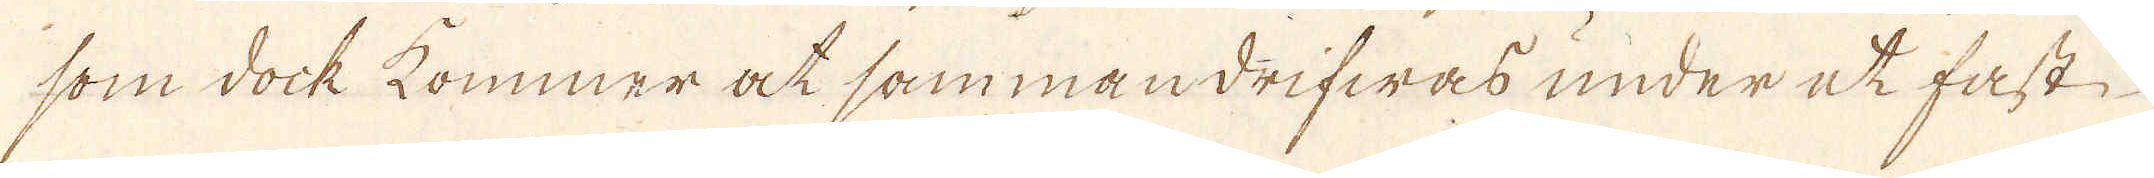som dock kommer at sammandrifwas under et fast
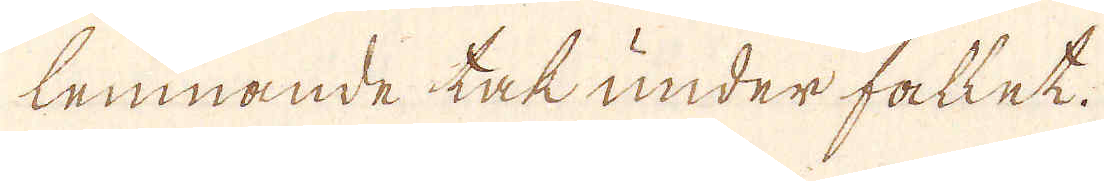lemnande tak under fallet.
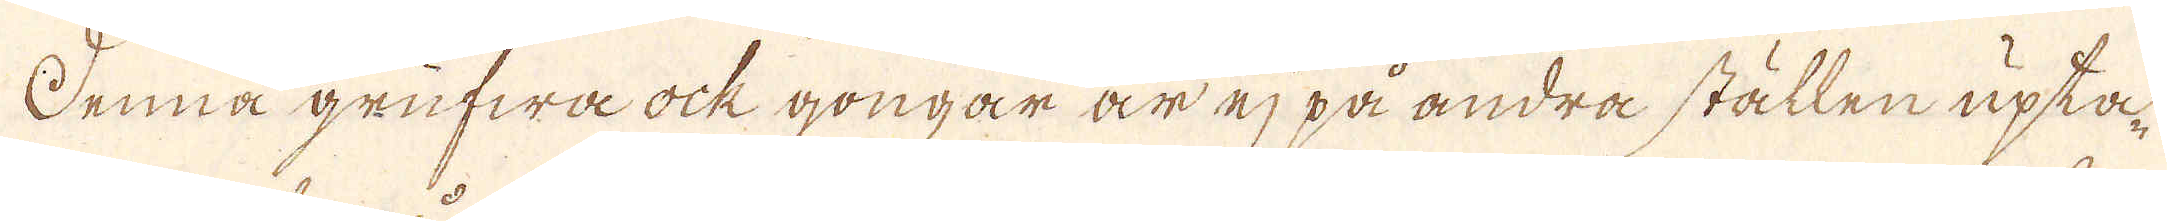Denna grufwa ock gongar är ej på andra ställen upta-
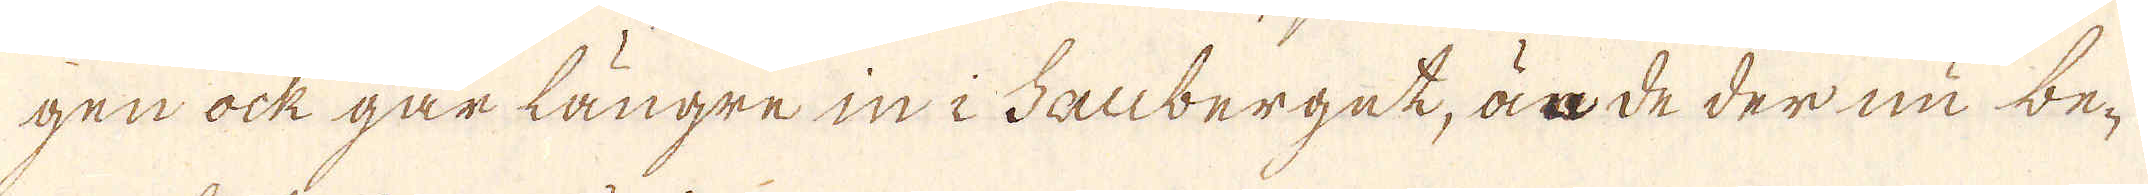gen ock går längre in i Fanberget, är de der nu be-
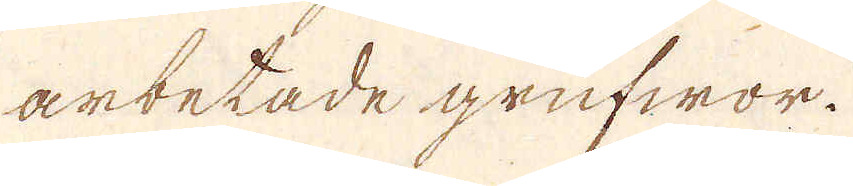arbetade grufwor.
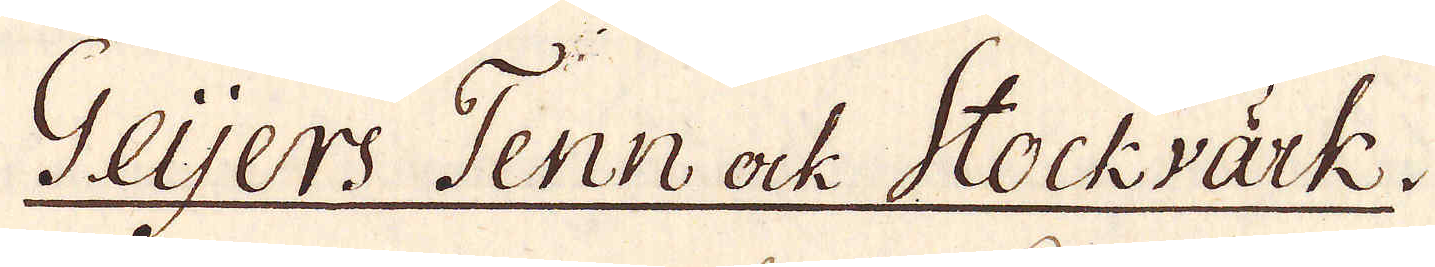Geijers Tenn ock Stockvärk.
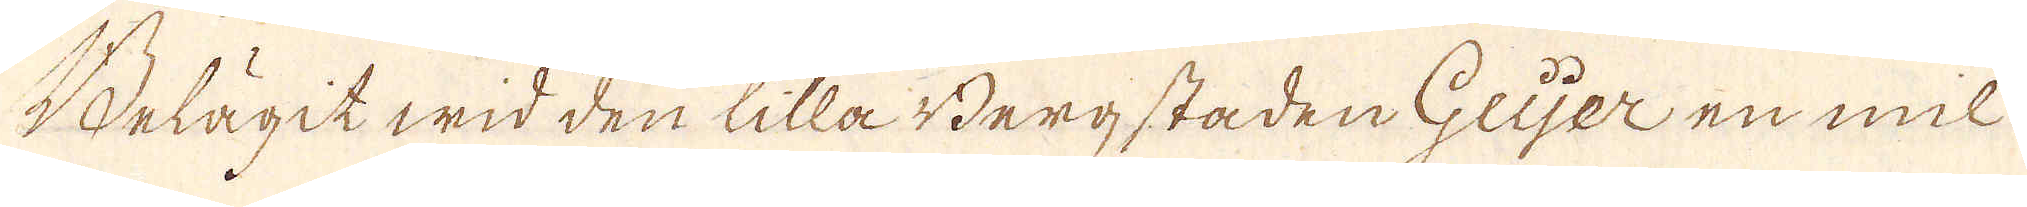Belägit wid den lilla Berg staden Geijer en mil
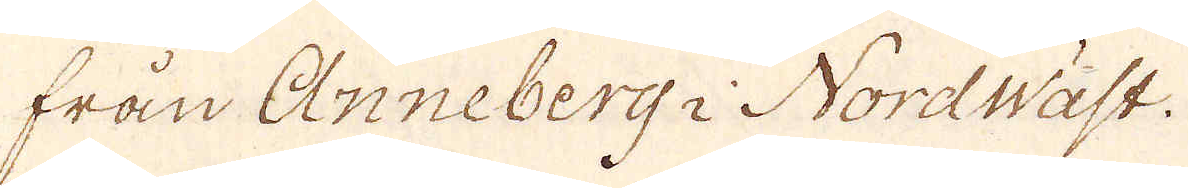från Anneberg i Nordwäst.
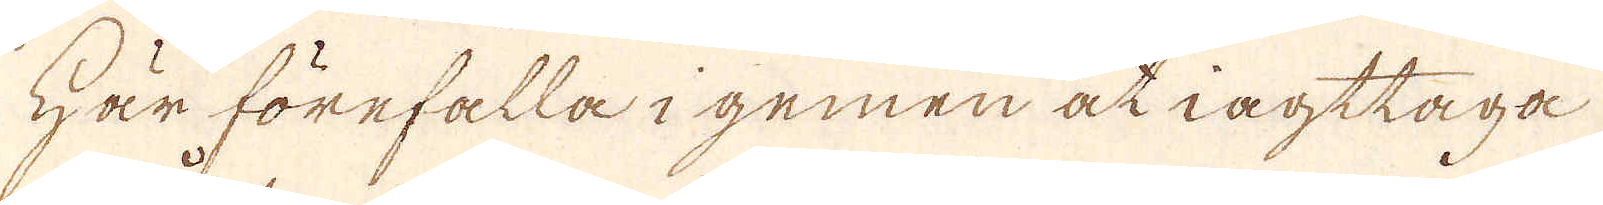Här förefalla i gemen at iagttaga
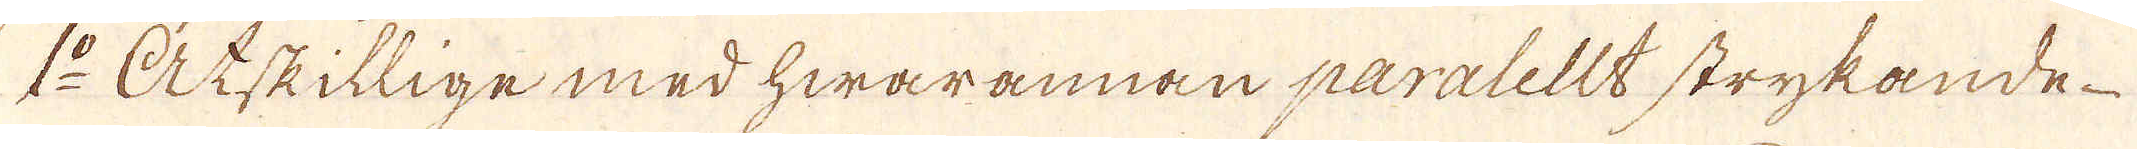1:o Åtskillige med hwarannan paralellt strykande
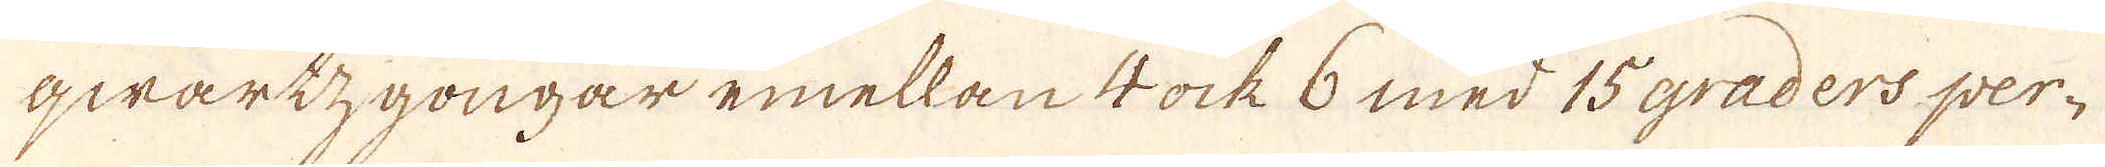qwartzgongar emellan 4 ock 6 med 15 graders per-
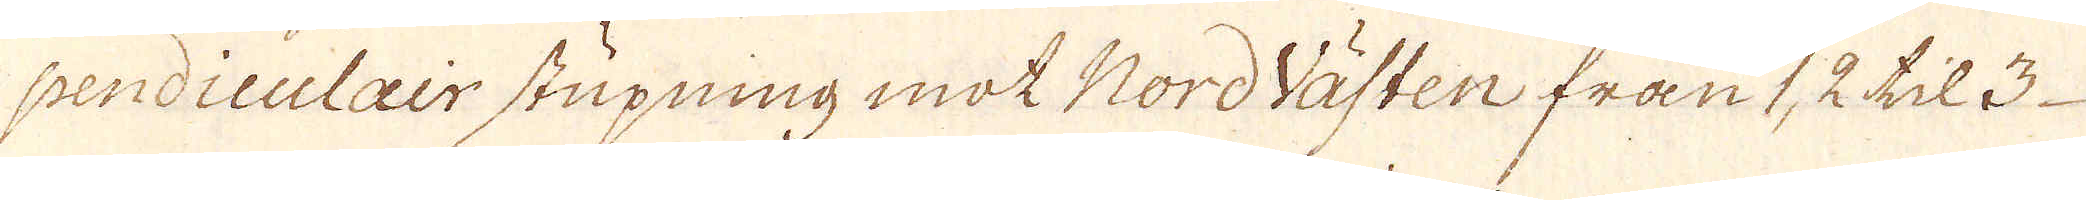sendiculair stupning mot Nordvästen från 1, 2 til 3
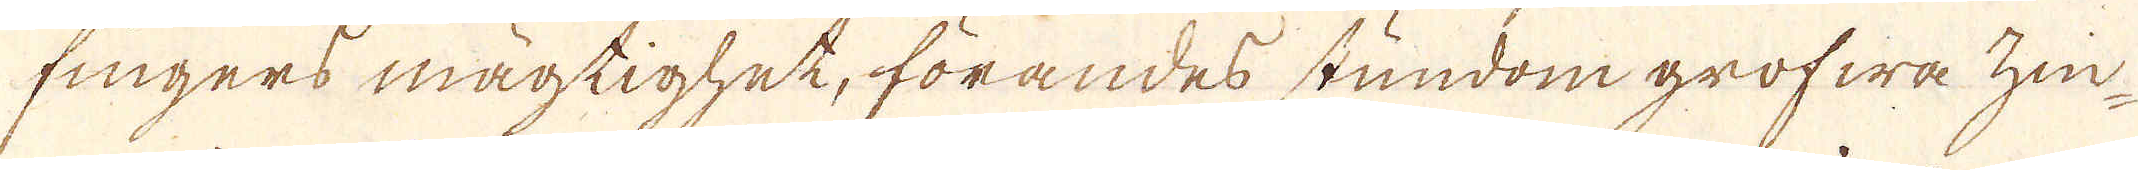fingers mägtighet, förandes stundom grofwa zin-
